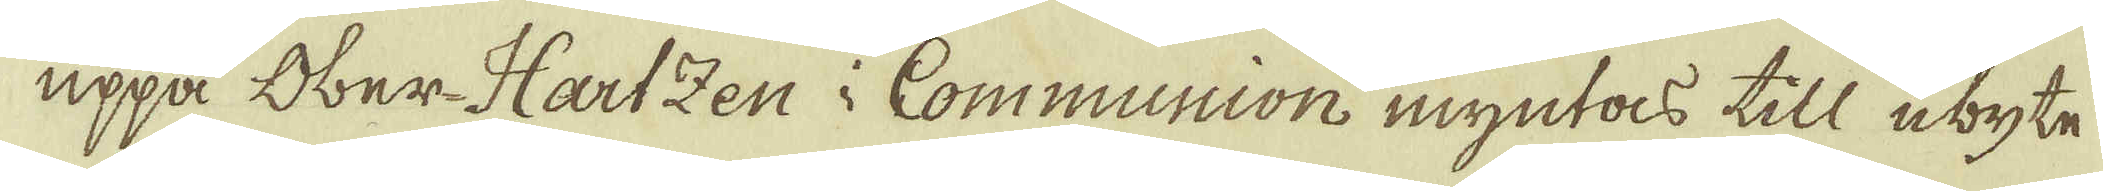uppå Ober-Hartzen i Communion myntas till utbyte
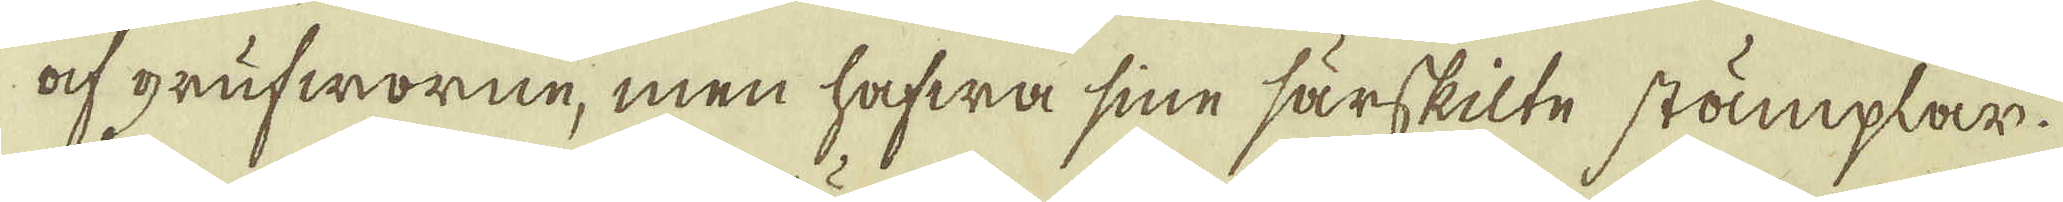ock grufworne, men hafwa sine särskilte stämplar.
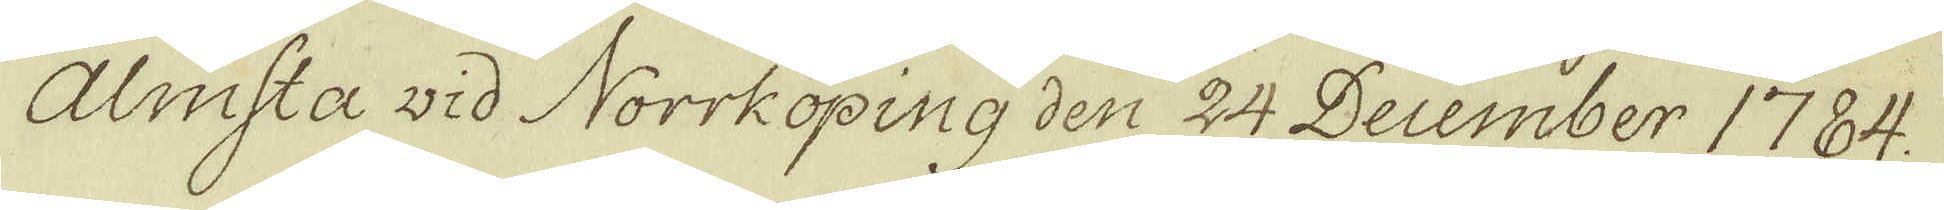Almsta wid Norrköping den 24 December 1784.
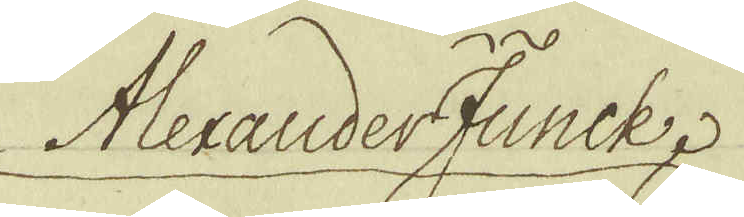Alexander Funck
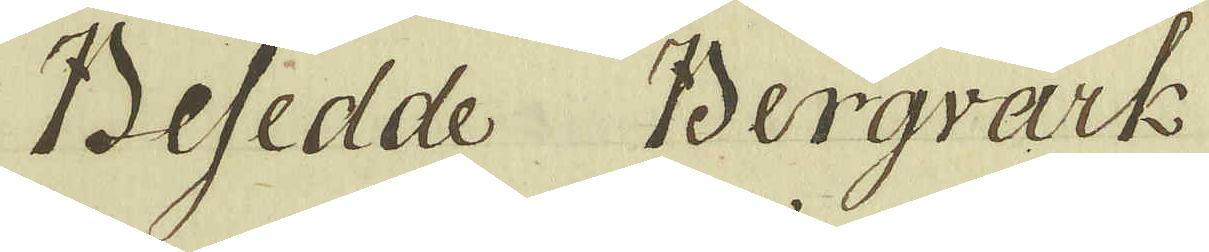Besedde Bergvärk
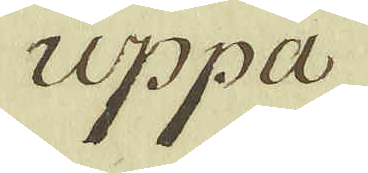uppå
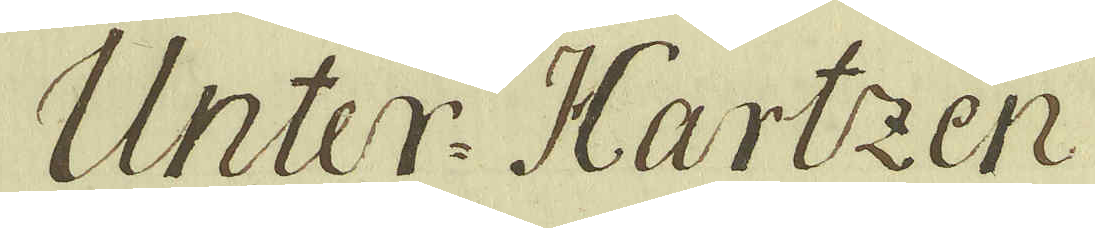Unter-Hartzen
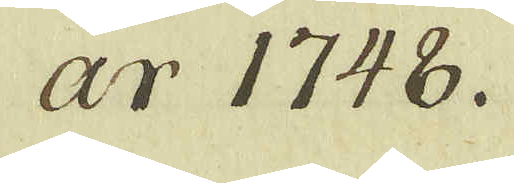år 1748.
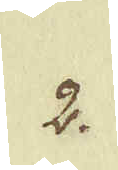2.
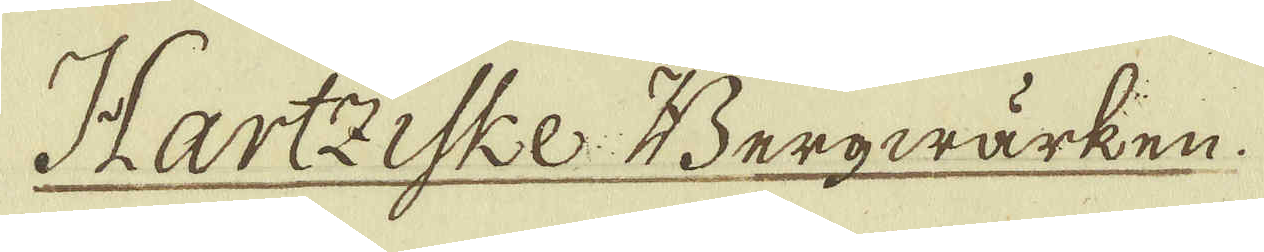Hartziske Bergwärken.
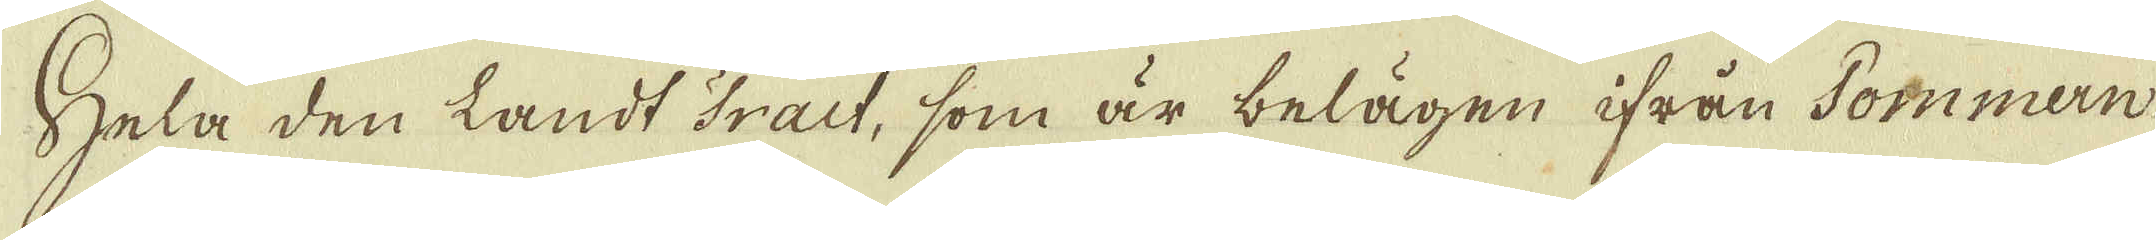Hela den landt tract, som är belägen ifrån Pommern
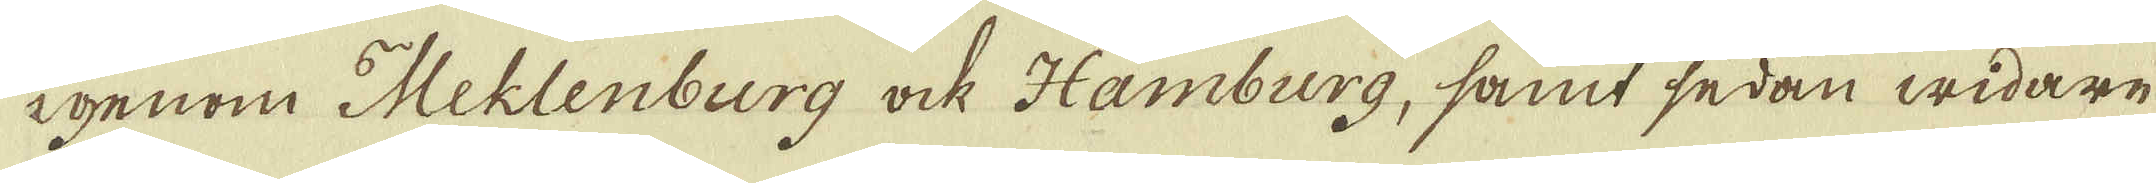igenom Meklenburg ock Hamburg, samt sedan widare
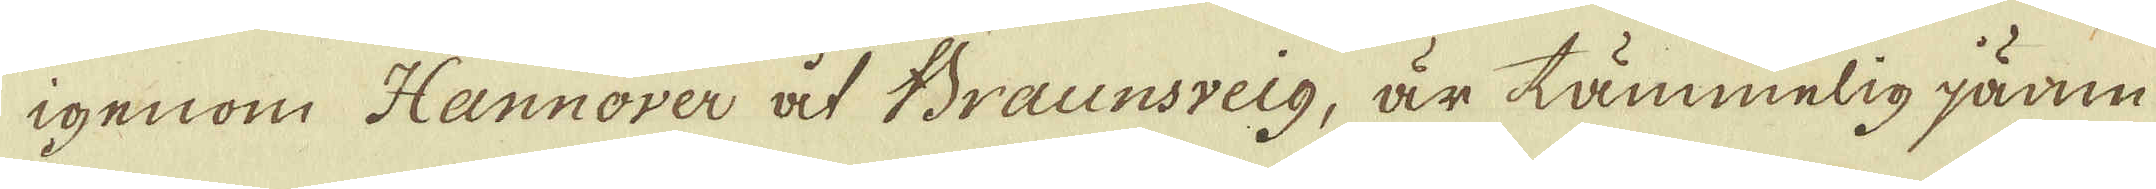igenom Hannover af Braunsveig, är tämmelig jämn
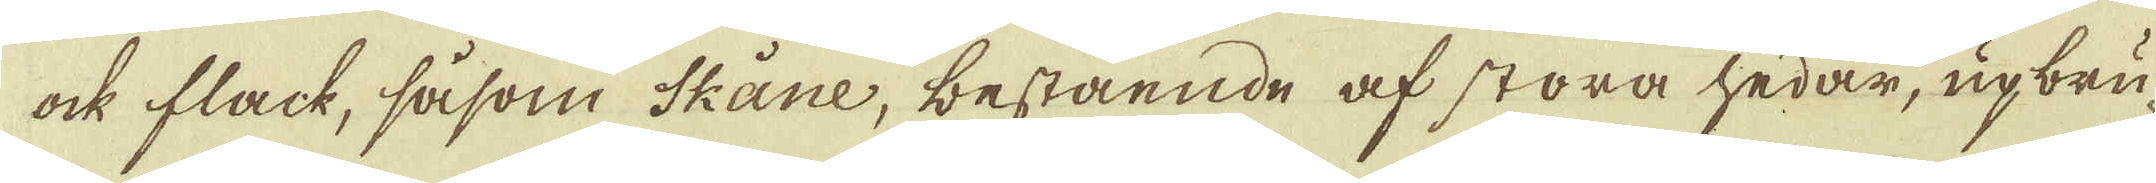ock flack, såsom Skåne, bestående af stora hedar, upbru-
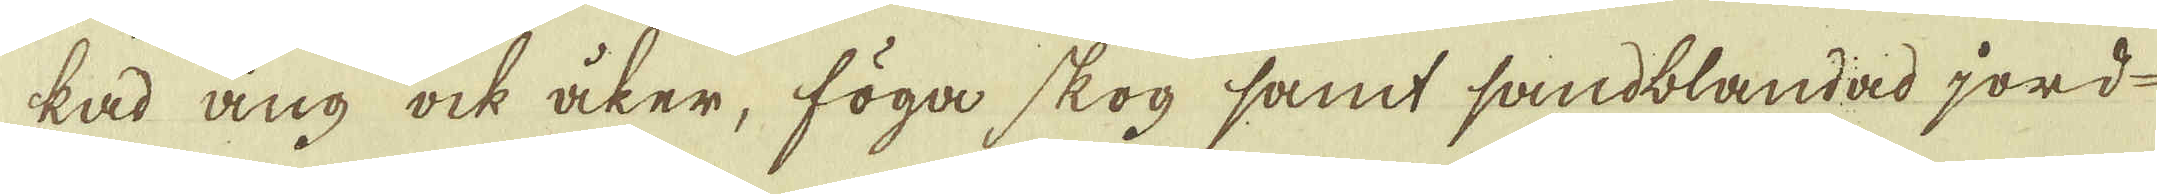kad äng ock åker, föga skog samt sandblandad jord-
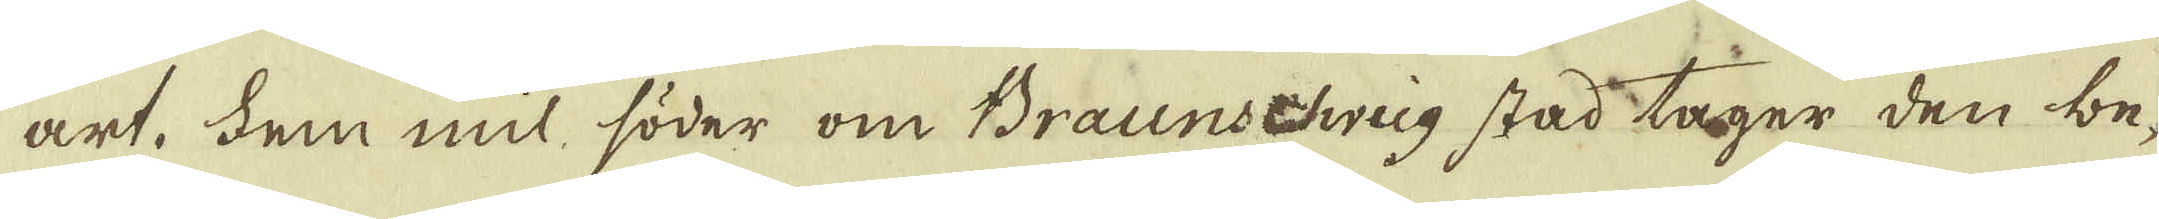art. Fem mil söder om Braunschweig stad tager den be-
